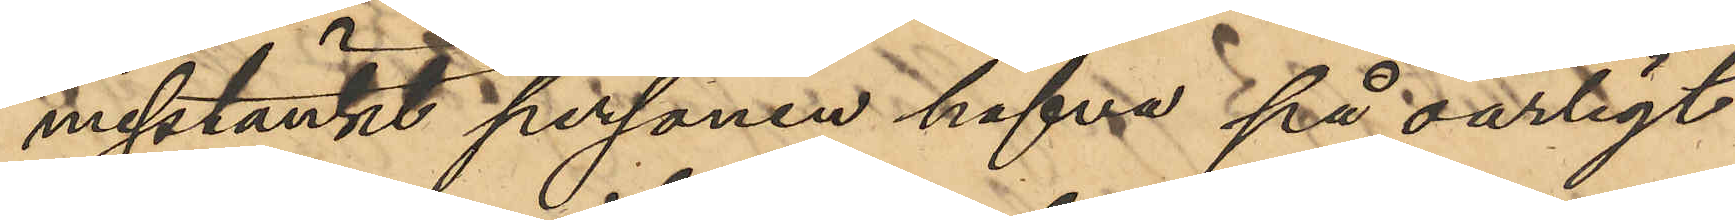misstänkt personen hafva på oärligt
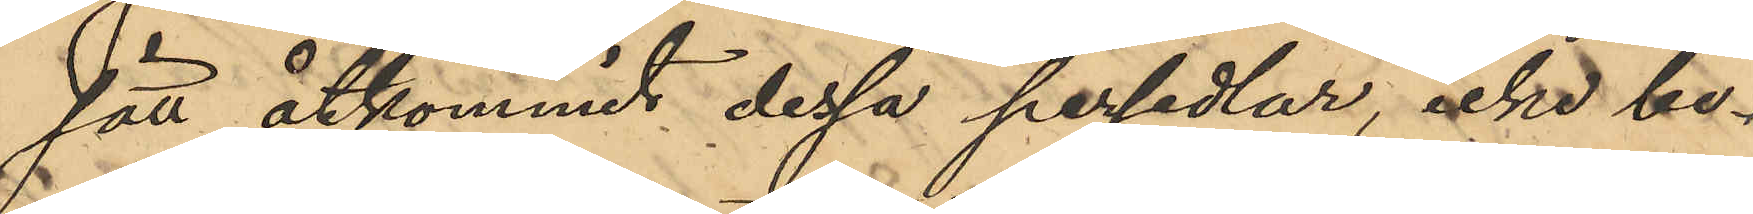sätt åtkommit dessa persedlar, icke be¬
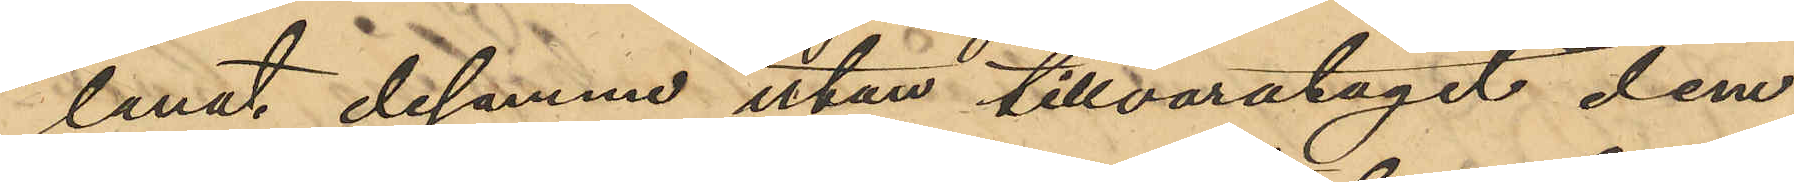lånat desamme utan tillvaratagit dem, 
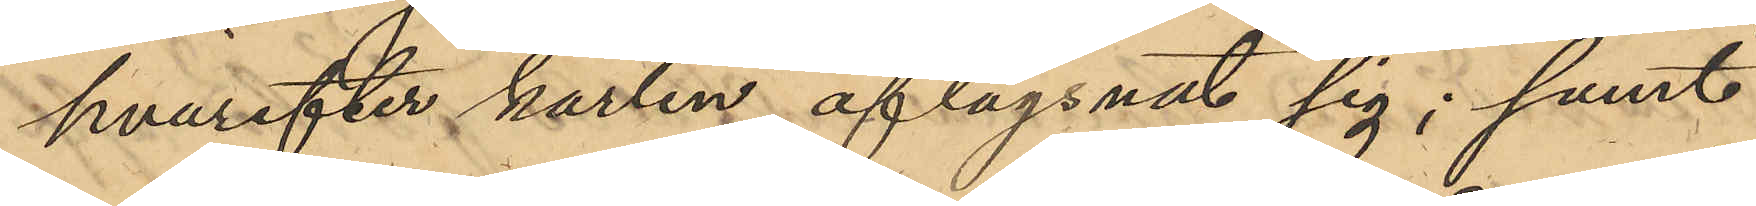hvarefter karlen aflägsnat sig; samt
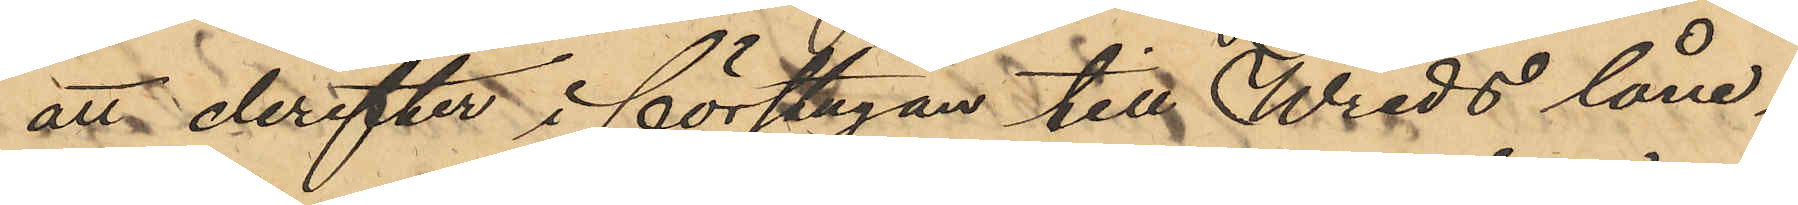att derefter i förstugan till Wreds låne¬
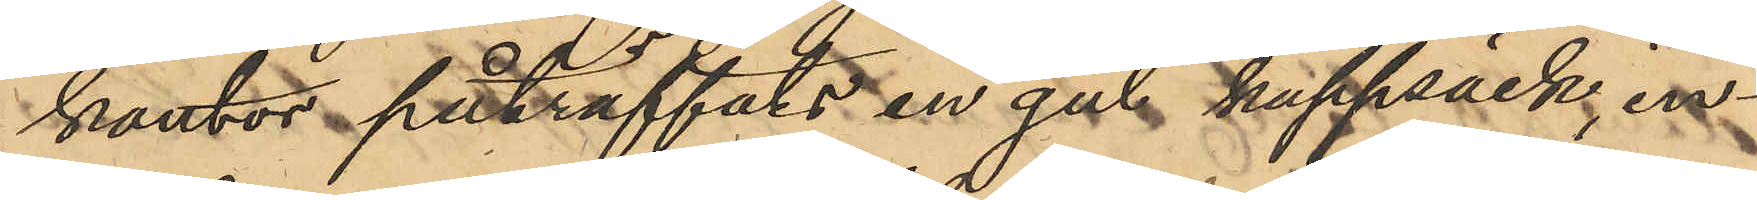kontor påträffats en gul kappsäck, in¬
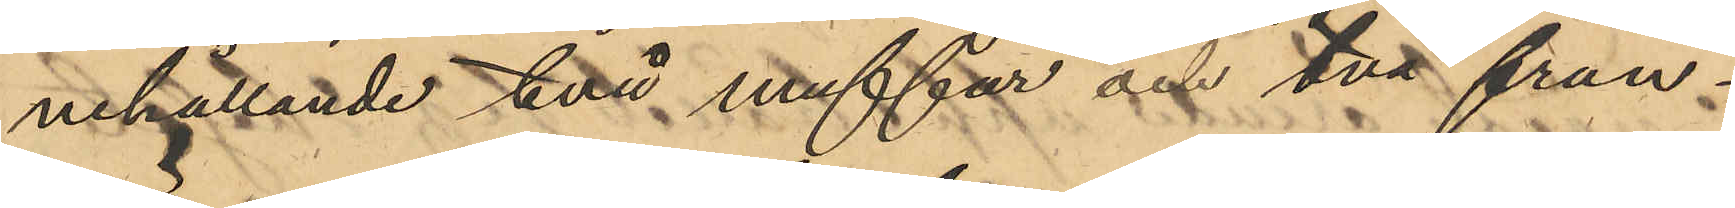nehållande två muffar och två frun¬
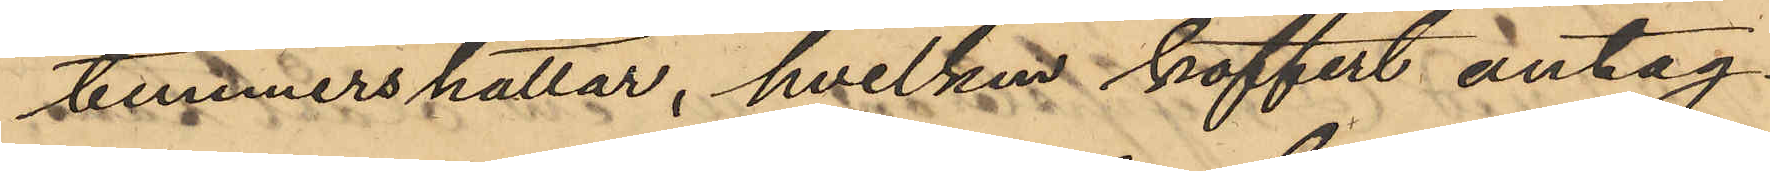timmershattar, hvilken koffert antag¬
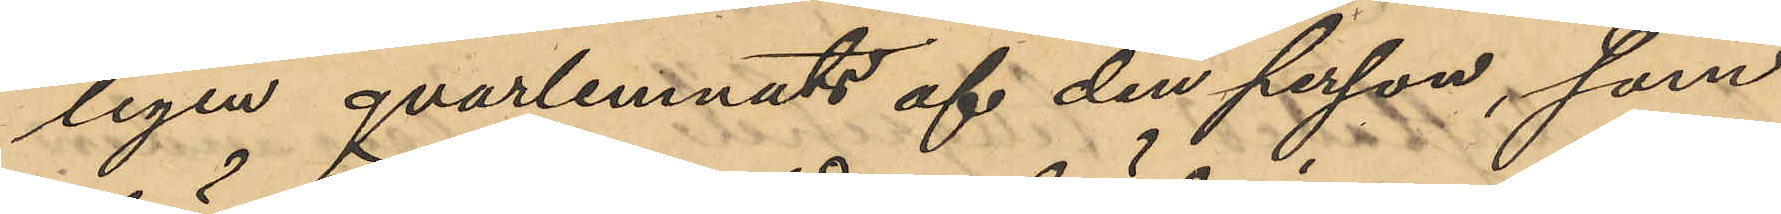ligen qvarlemnats af den person, som
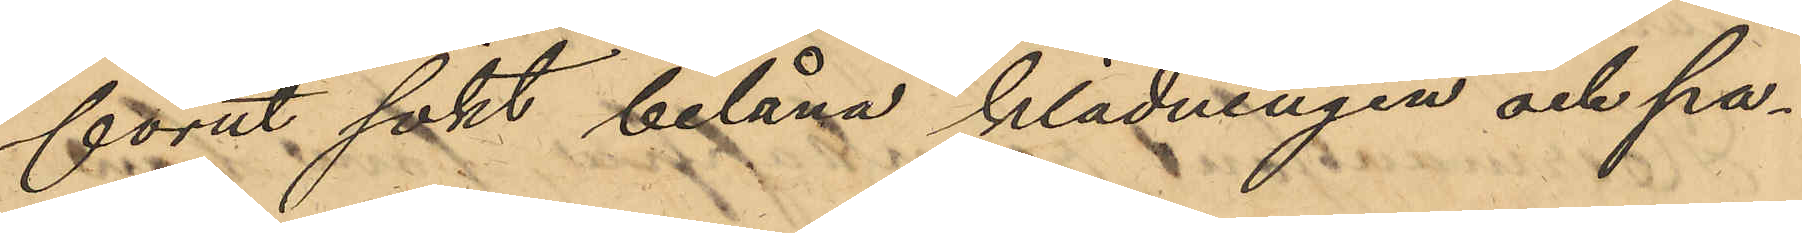förut sökt belåna klädningen och pa¬
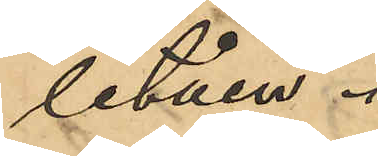letåen.
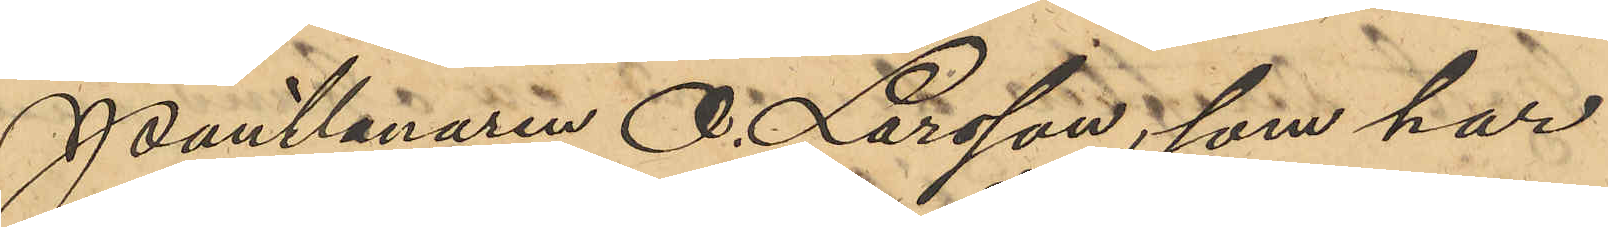Pantlånaren O. Larsson, som har
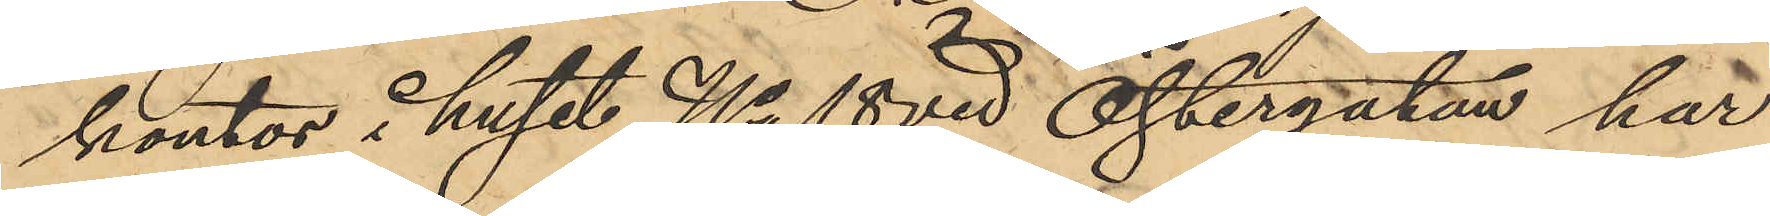kontor i huset No 18 vid Östergatan har
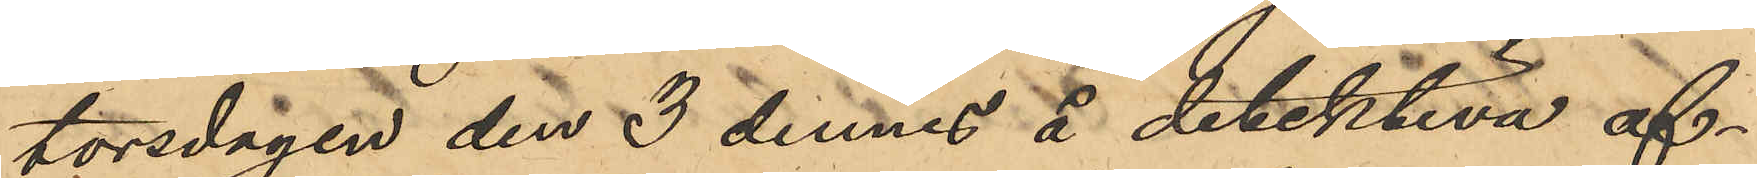torsdagen den 3 dennes å detektiva af¬
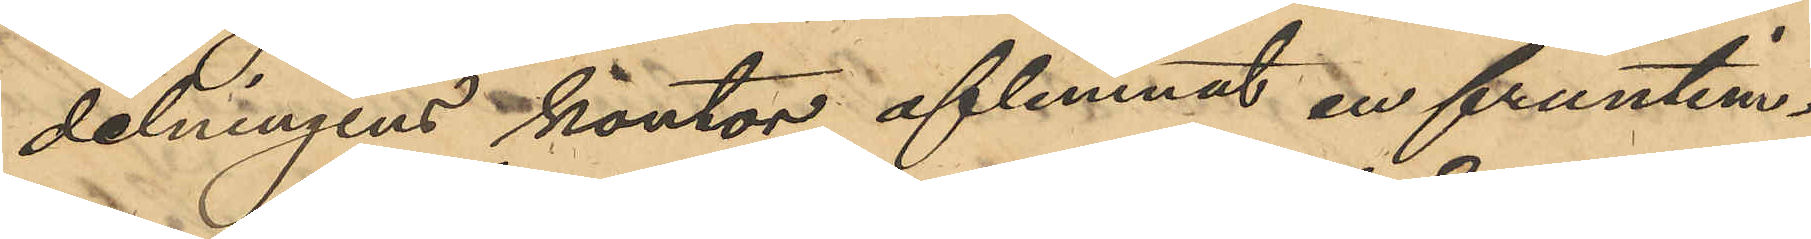delningens kontor aflemnat en fruntim¬
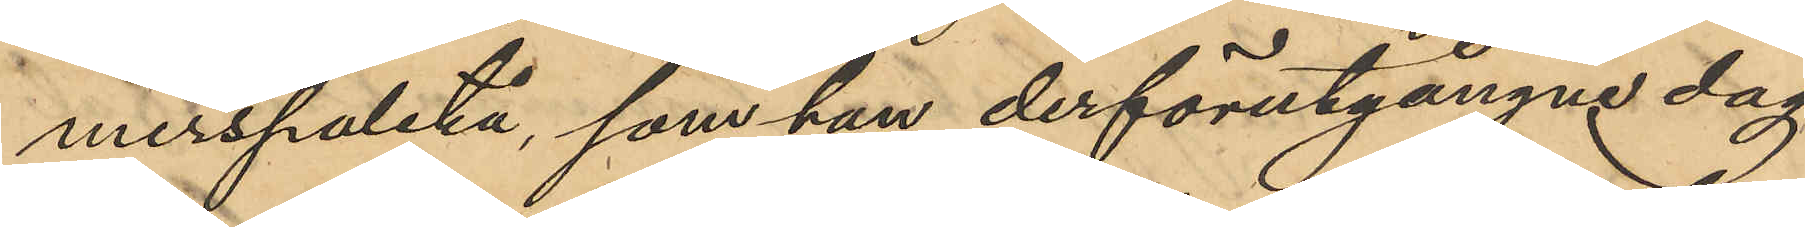merspaletå, som han derförutgångne dag
